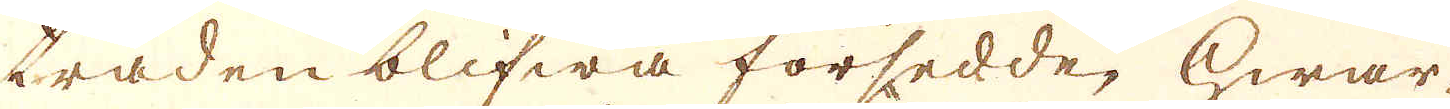tråden blifwa försedde, hwar-
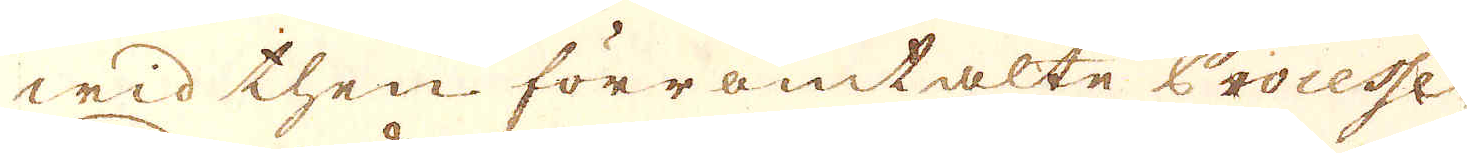wid then förromtalte Processe
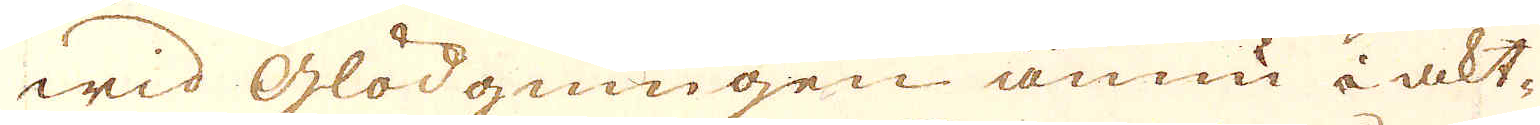wid glödgningen ännu i akt-
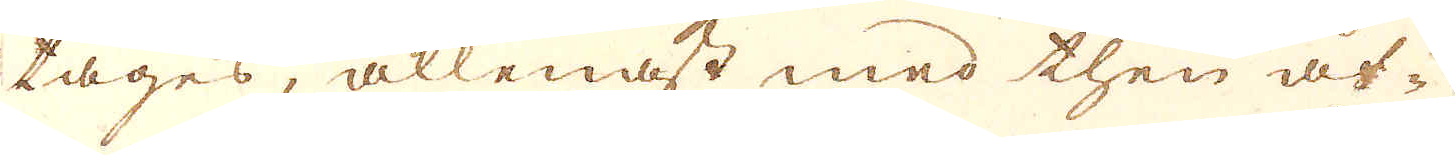tages, allenast med then åf-
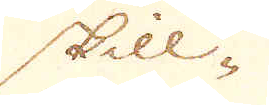skill-
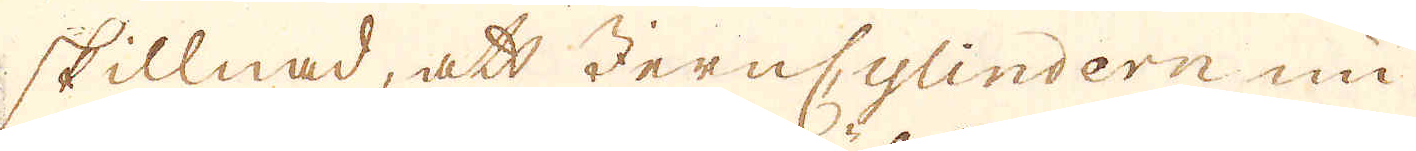skillnad, att Jerncylindern nu
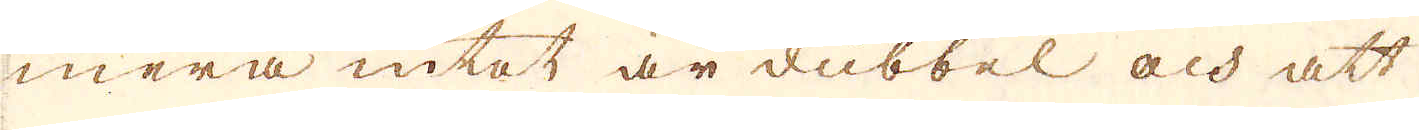mera intet är dubbel och att
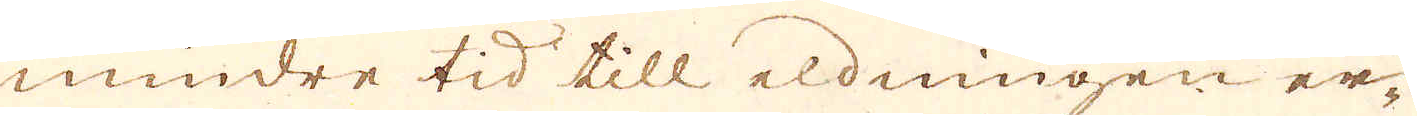mindre tid till eldningen er-
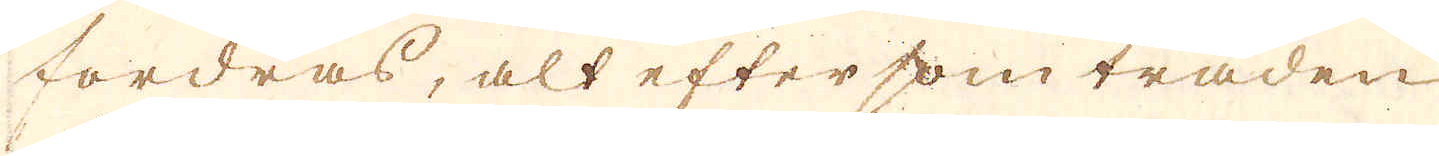fordras, alt efter som tråden
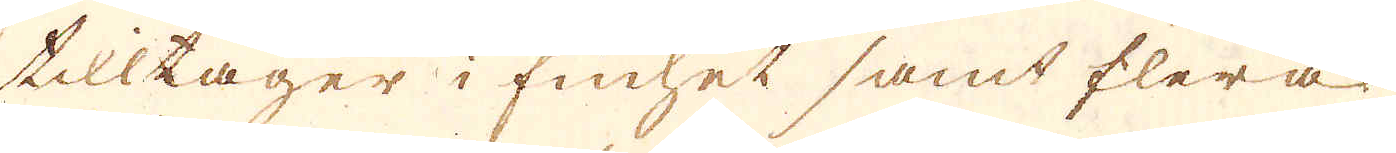tilltager i finhet samt flera
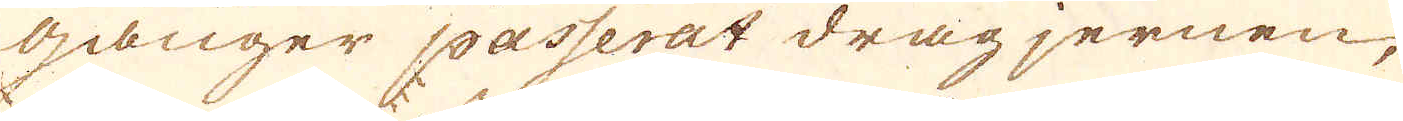gånger passerat dragjernen,
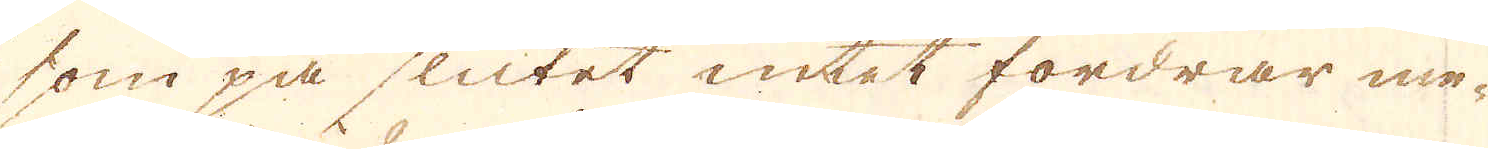som på slutet intet fordrar me-
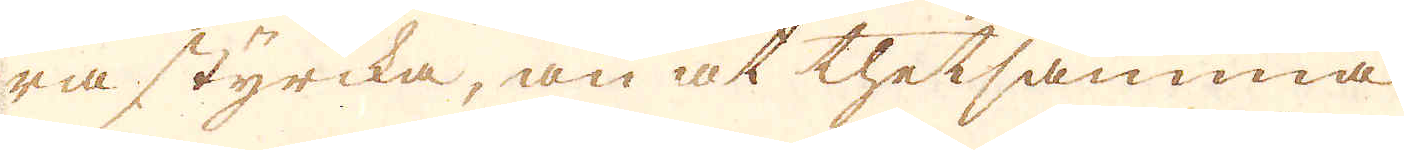ra styrcka, än at thetsamma
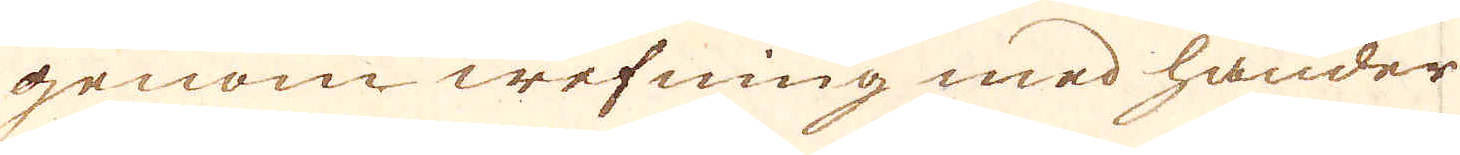genom wefning med händer,
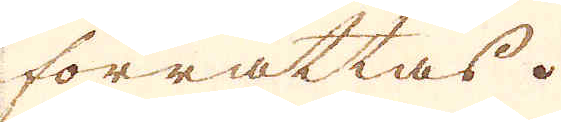förrättas.
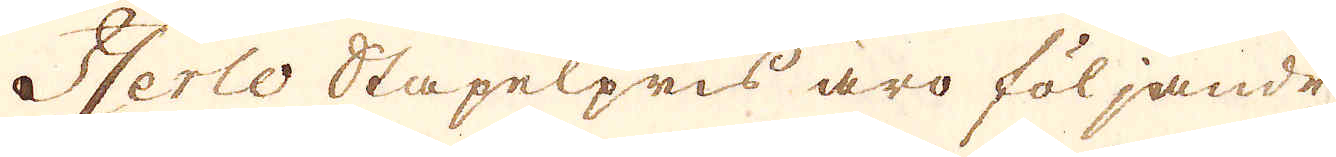Iserlo Stapelpris äro följande
